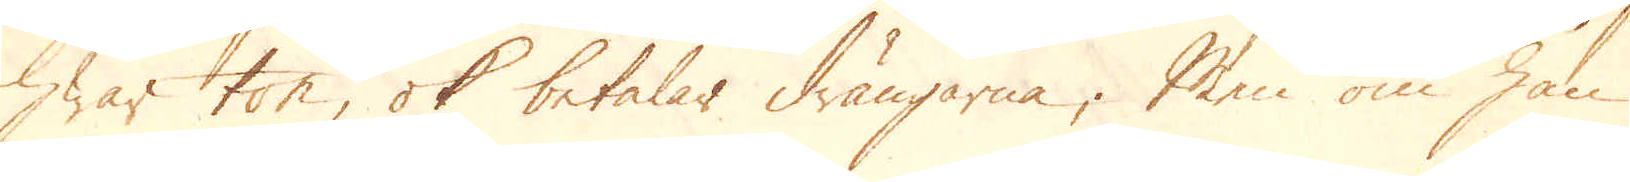hwar ton, ok betalar drängarna; Men om han
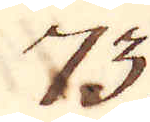73.
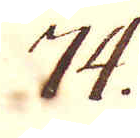74.
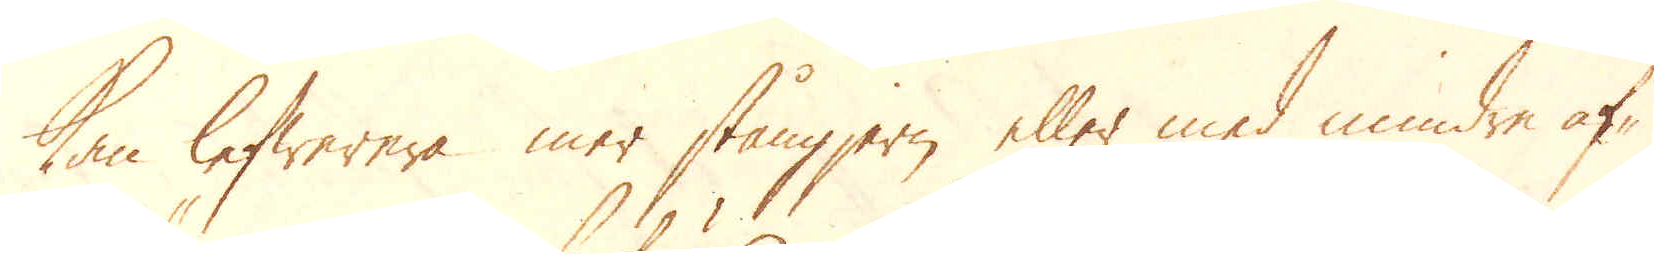kan lefwerera mer stångjern eller med mindre af-
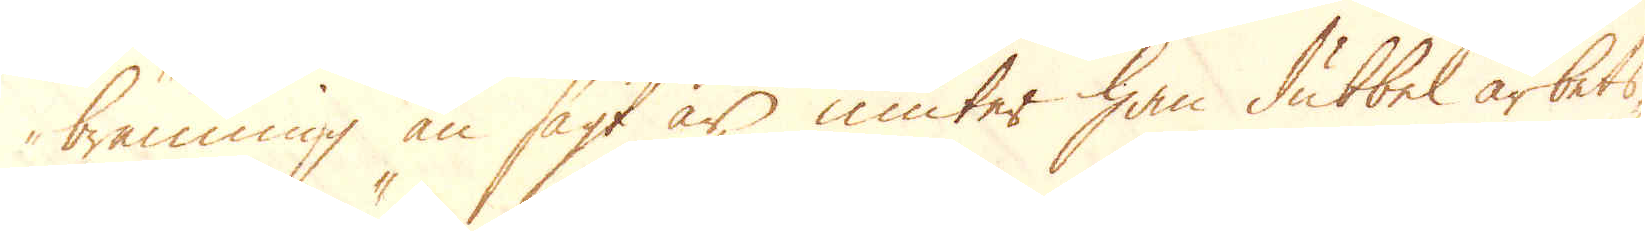bränning än sagt är, niuter han dubbel arbets-
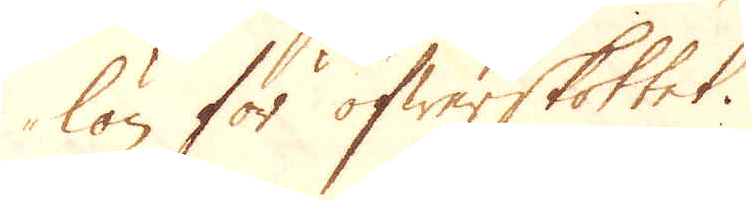lön för öfwerskottet.
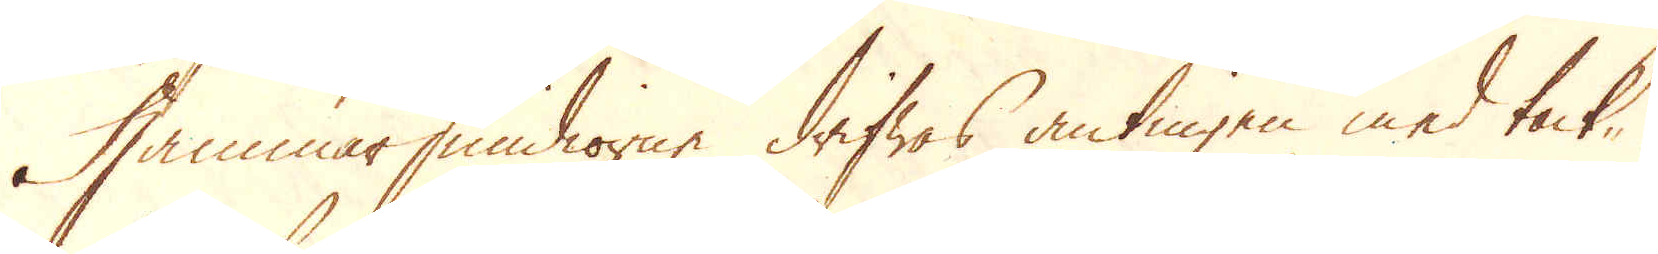Hammarsmidiorne drifwas antingen med tack-
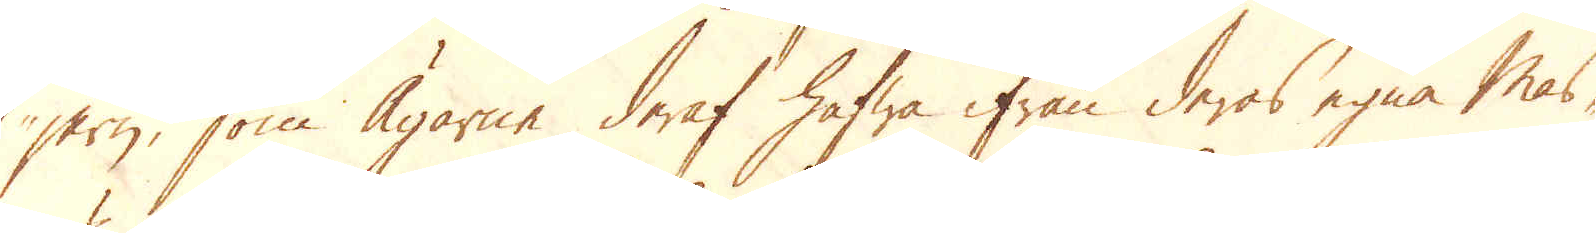jern, som Ägarne deraf hafwa ifrån deras egna Mas-
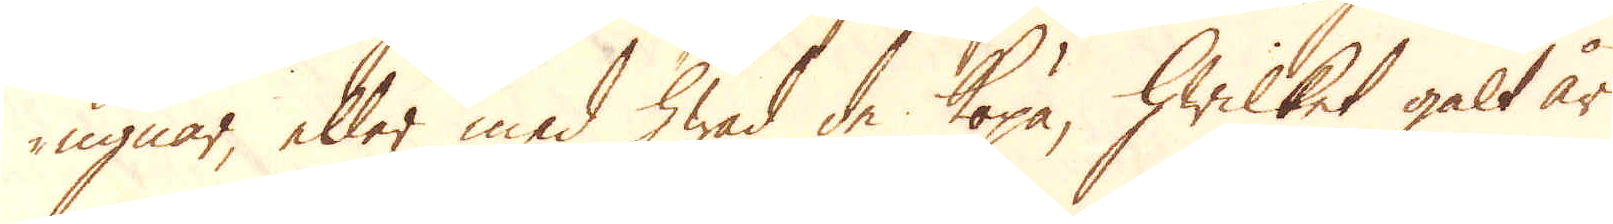ugnar, eller med hwad de köpa, hwilket galt år
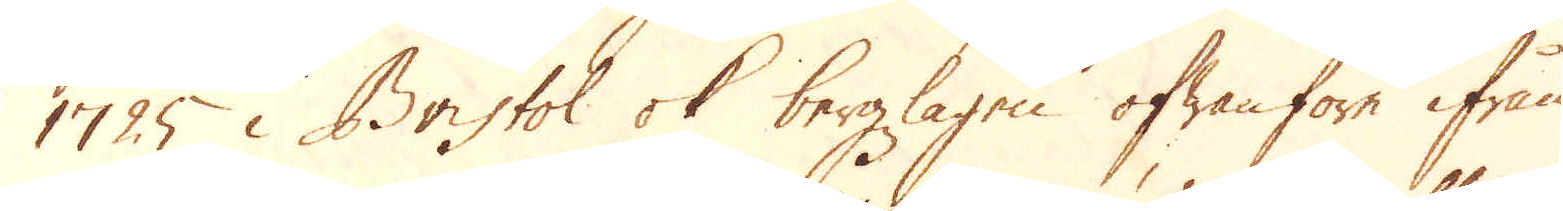1725 i Bristol ok bergzlagen ofwanföre ifrån
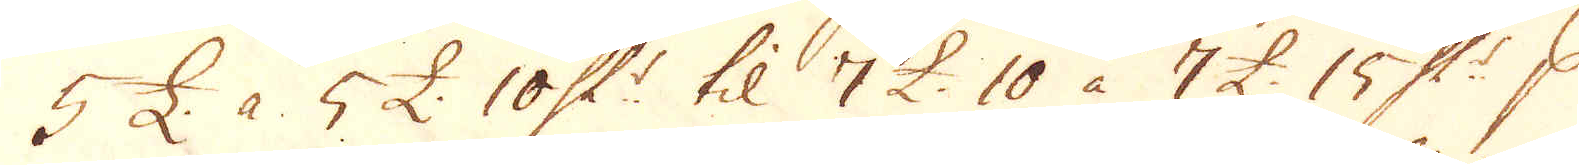5 £. à 5 £. 10 Sk:r til 7 £. 10 à 7 £. 15 Sk:r p
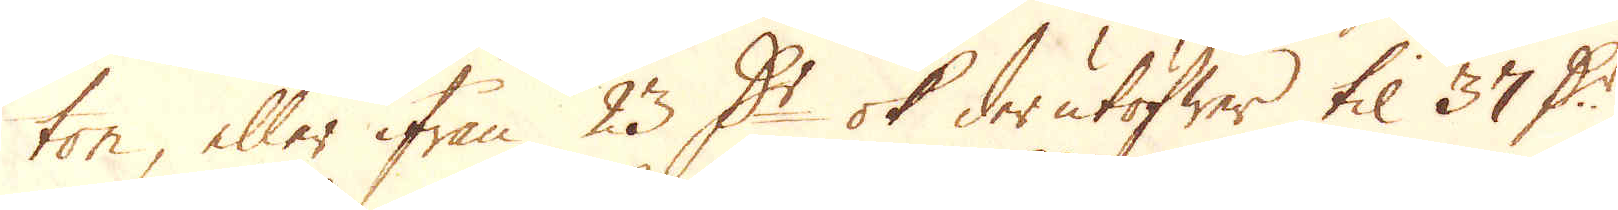ton, eller ifrån 23 D:r ok derutöfwer til 37 D:r
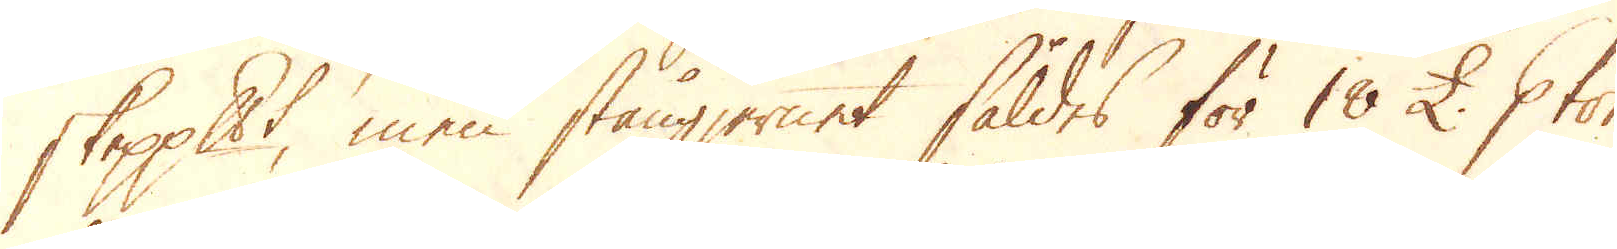skeppundet, men stångjernet såldes för 18 £. p ton
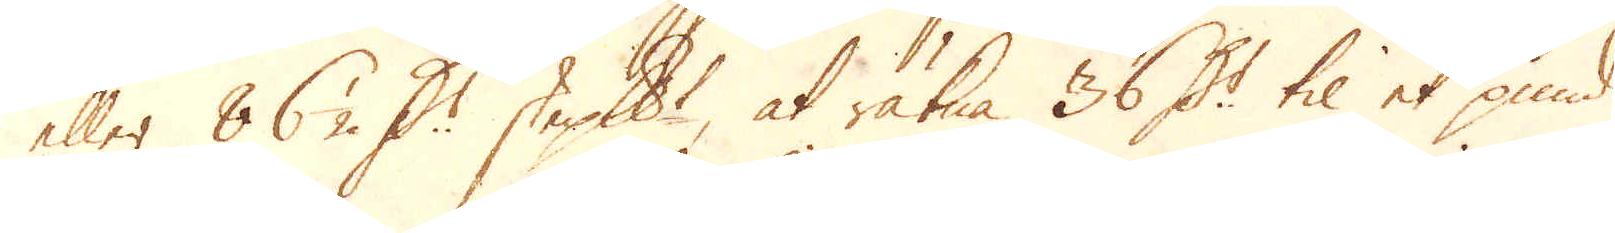eller 86 1/2 D:r skeppundet, at räkna 36 D:r til et pund
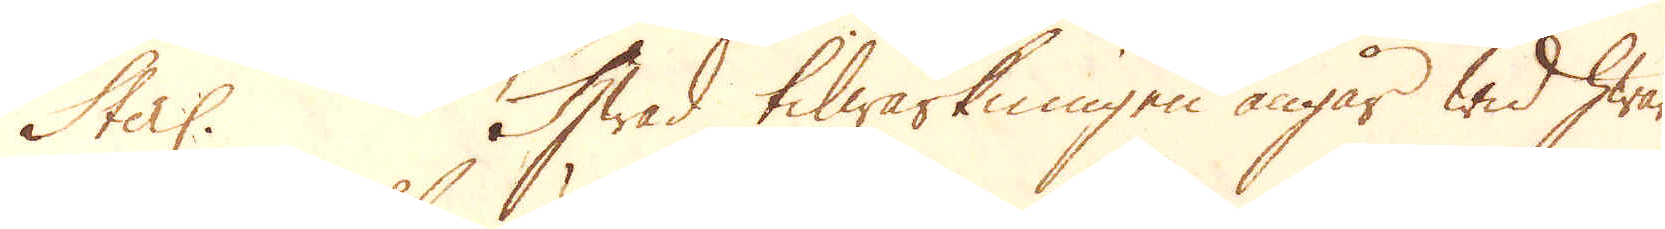Sterl. Hwad tilwärkningen angår wid hwar
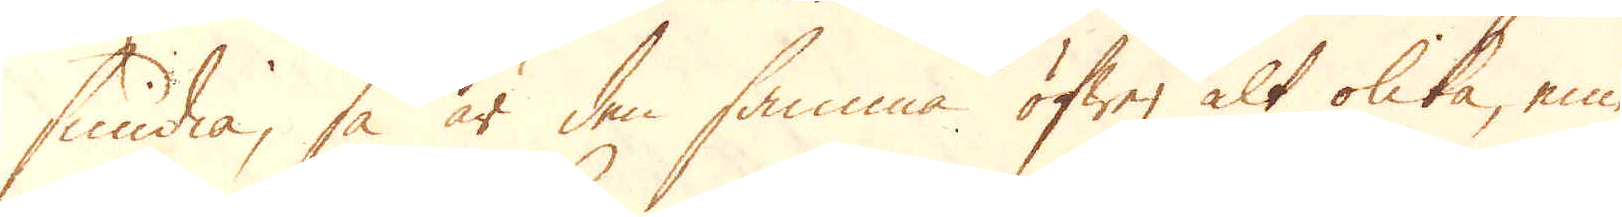smidia, så är den samma öfwer alt olika, eme-
